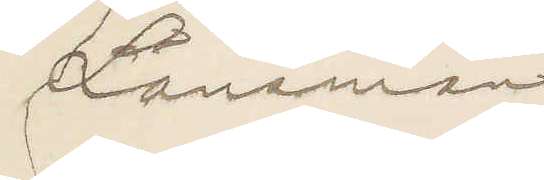Länsman
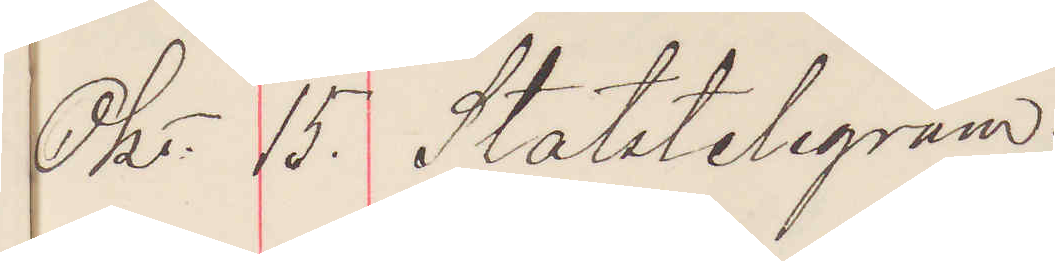Okt. 15. Statstelegram
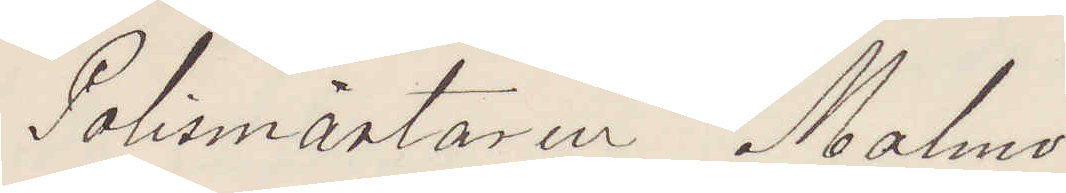Polismästaren Malmö
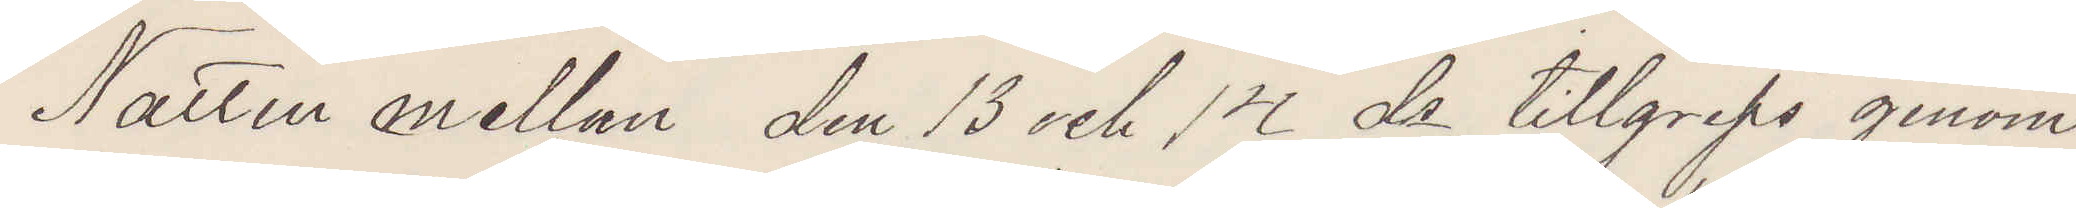Natten mellan den 13 och 14 ds tillgreps genom
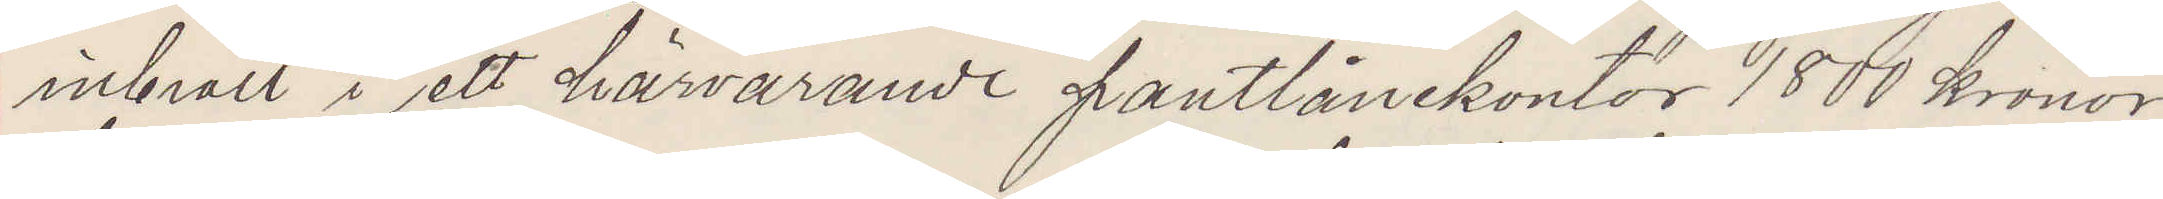inbrott i ett härvarande pantlånekontor 180 kronor
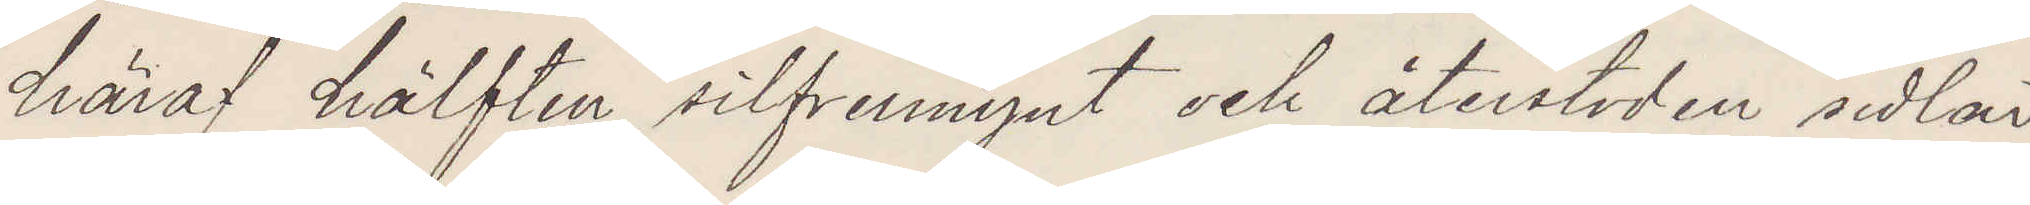häraf hälften silfvermynt och återstoden sedlar
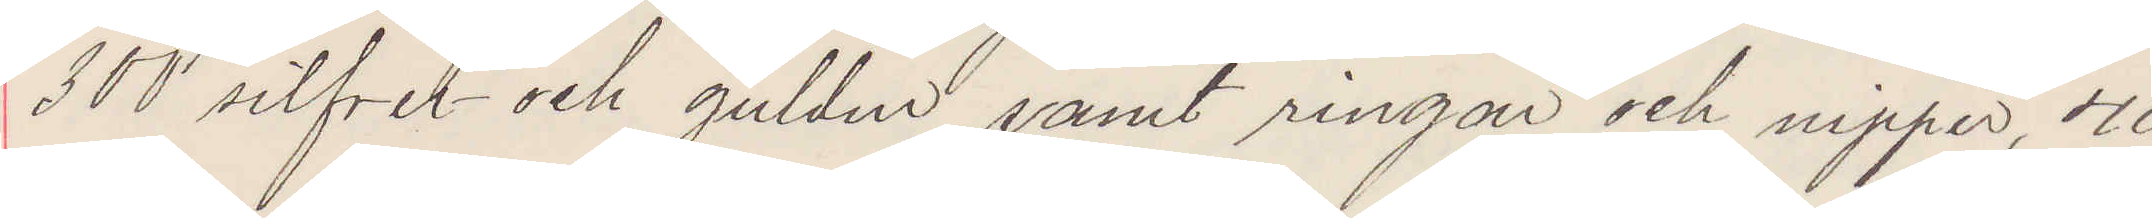300 silfver och guldur samt ringar och nipper 40
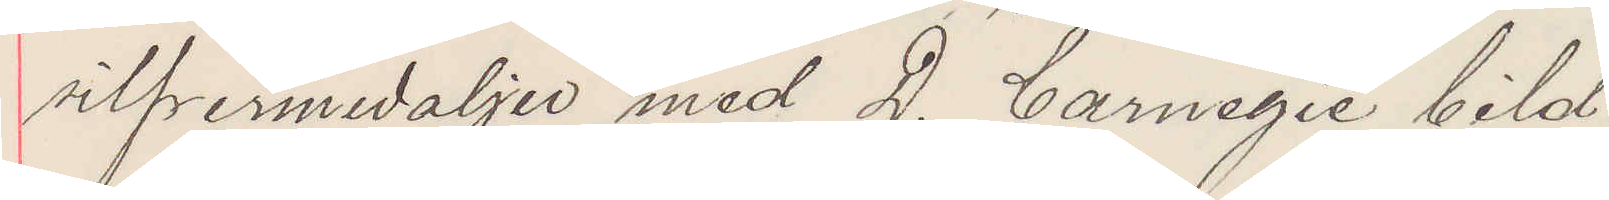silfvermedaljer med D. Carnegie bild.
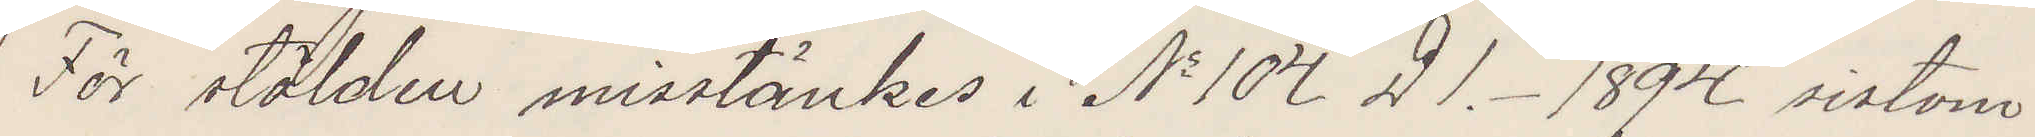För stölden misstänkes i No 104 D1. 1894 sistom¬
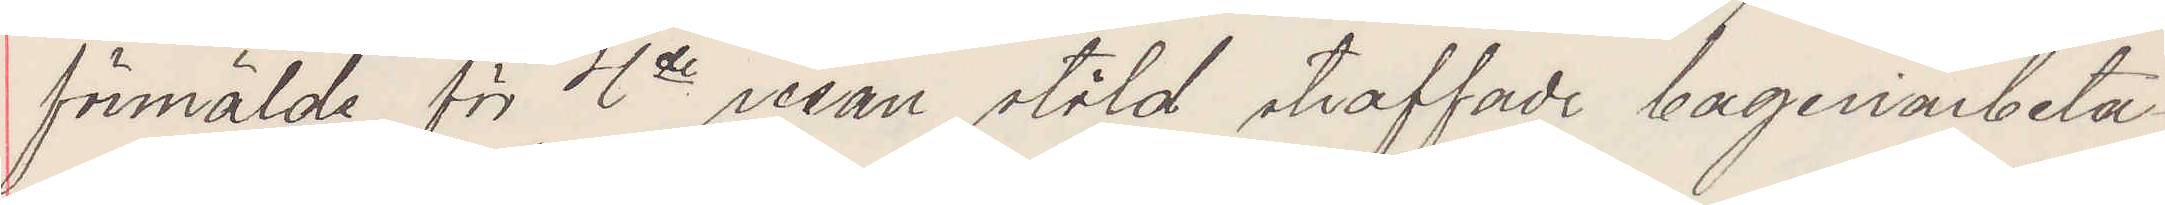förmälde för 4de resan stöld straffade bageriarbeta¬
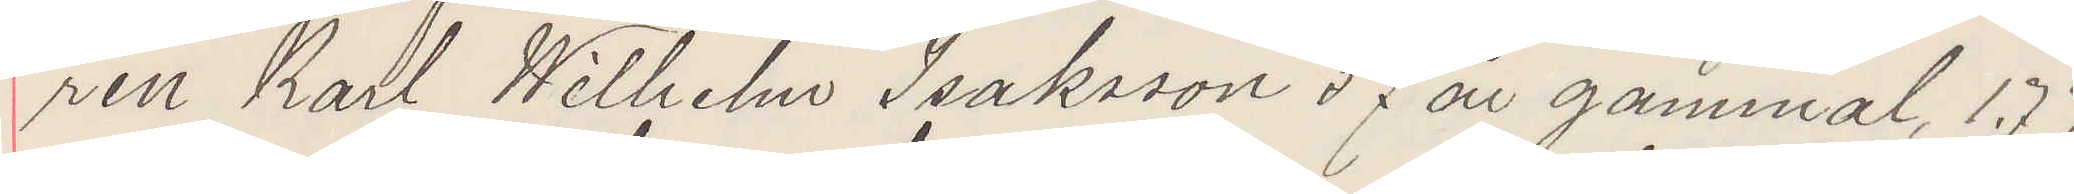ren Karl Wilhelm Isaksson 37 år gammal, 1.77
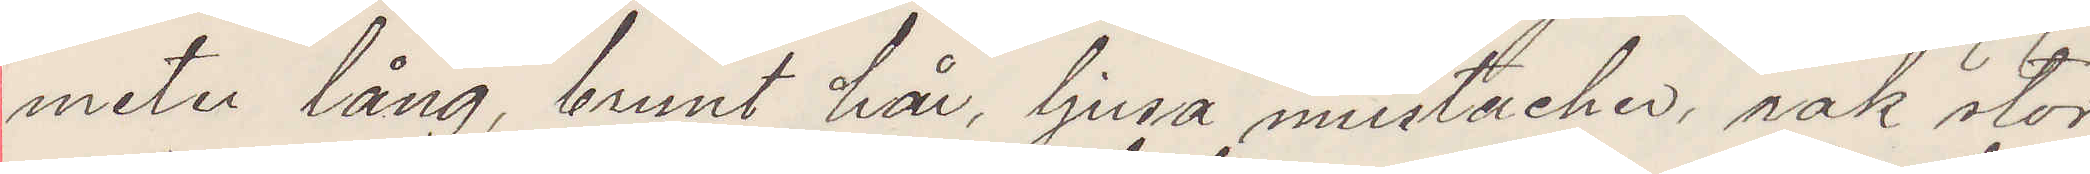meter lång, brunt hår, ljusa mustacher, rak stor
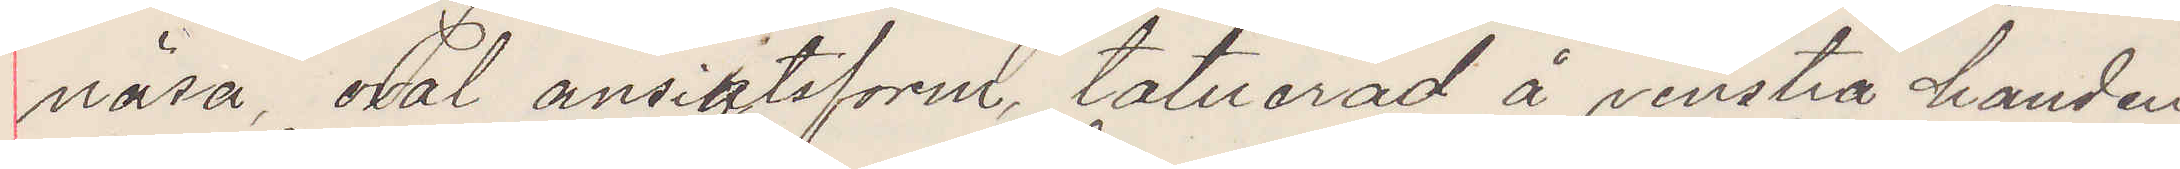näsa, oval ansigtsform, tatuerad å venstra handen
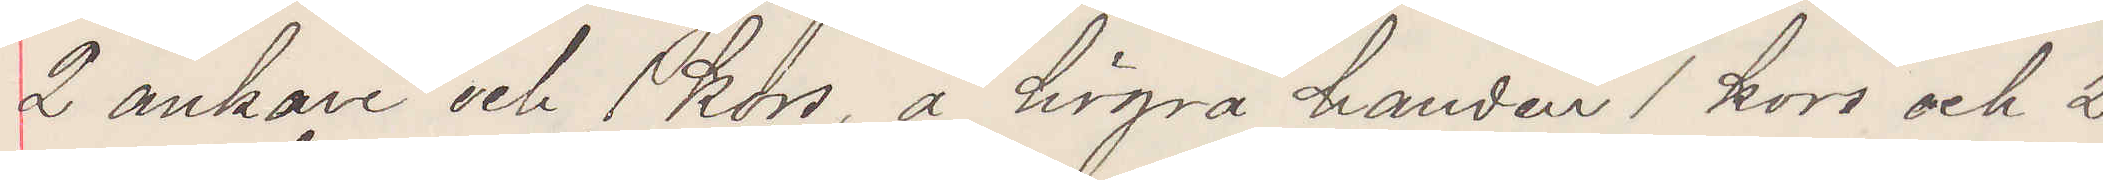2 ankare och 1 kors, å högra handen 1 kors och 2
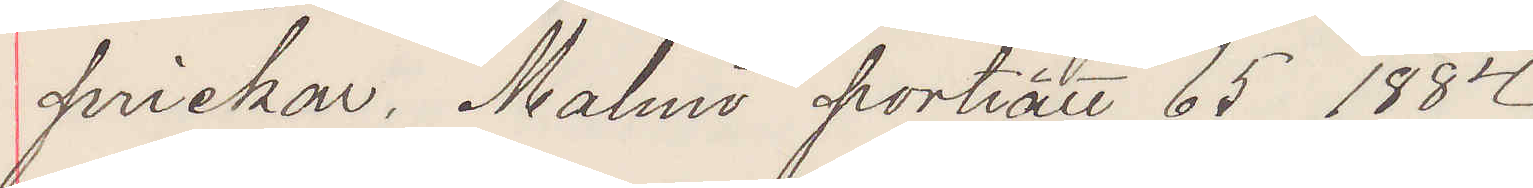prickar. Malmö porträtt 65 1884.
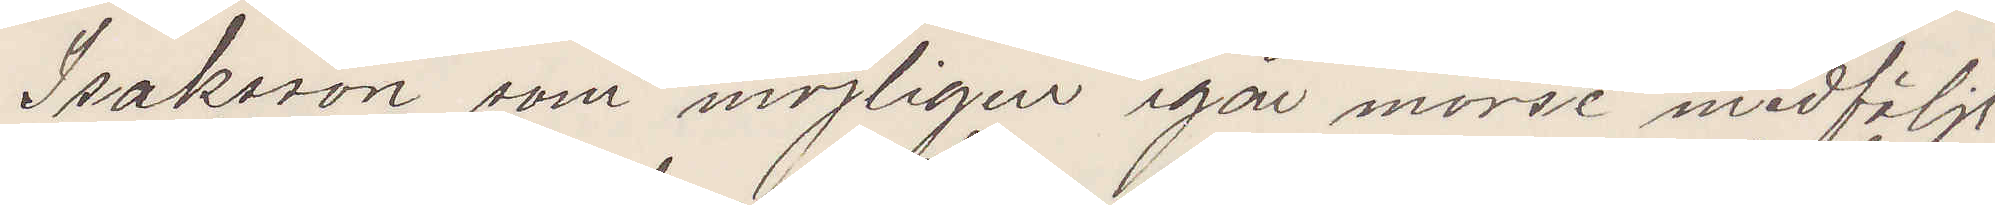Isaksson som möjligen igår morse medföljt
